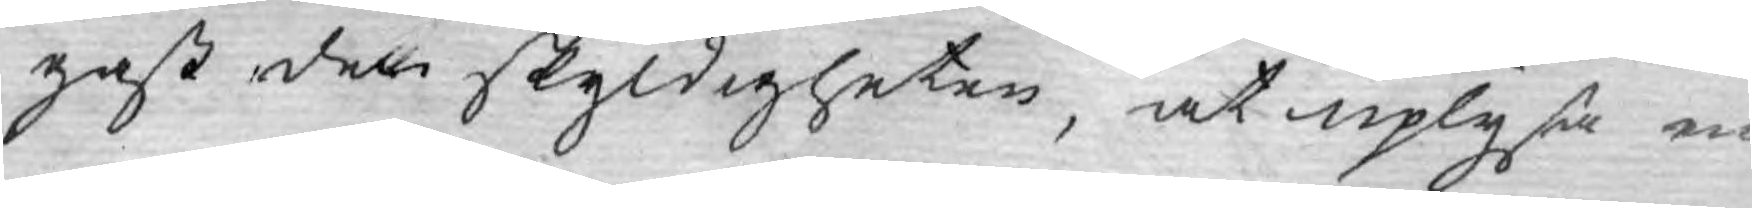gast den skyldigheten, at uplysa en
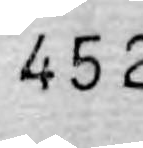452
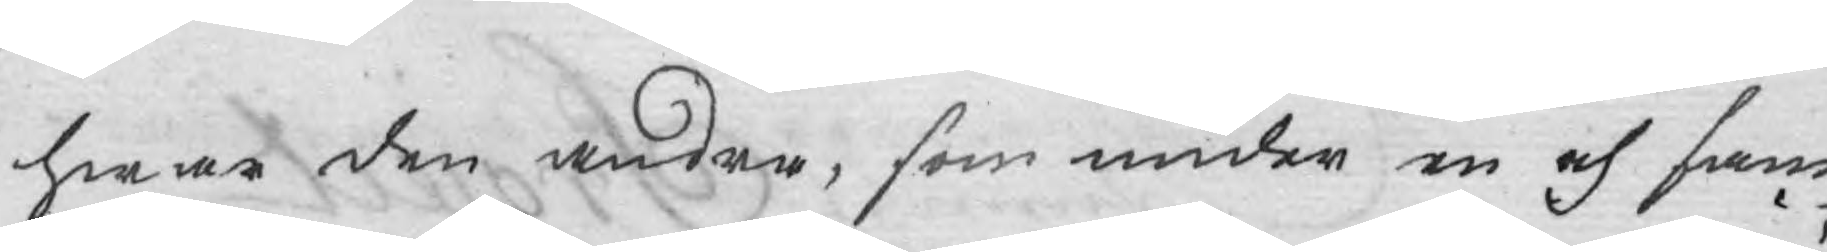hwar den andra, som under en och sam¬
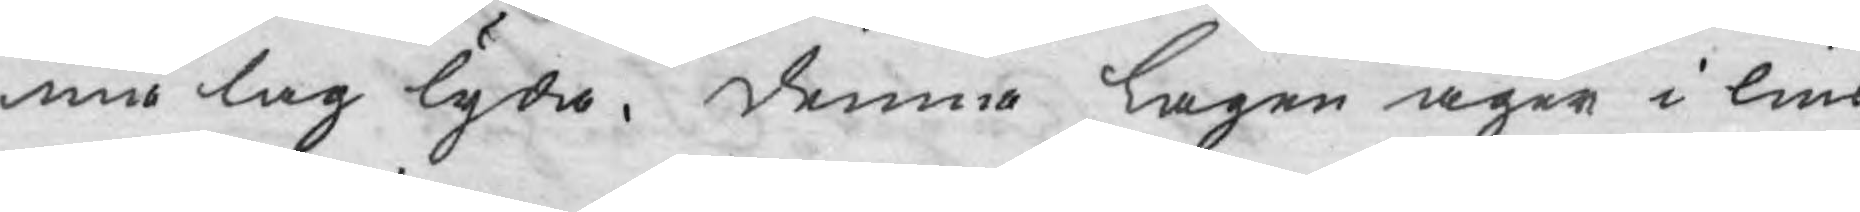ma lag lyda. denna Lagen äger i lius
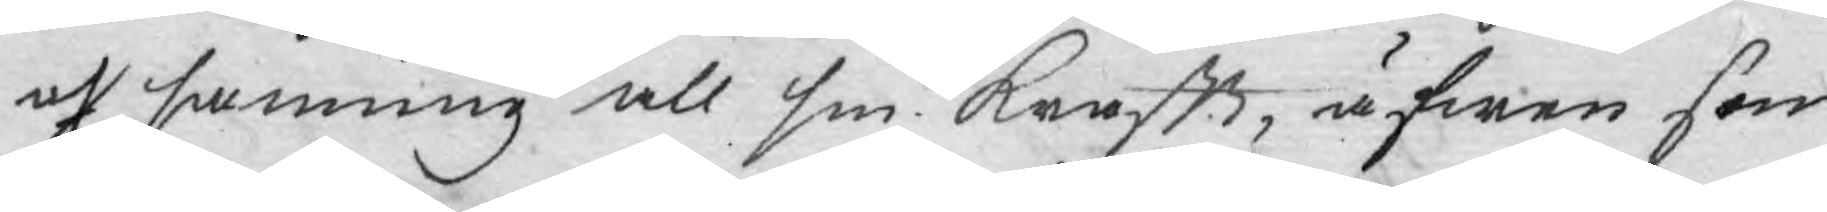och sanning all sin krafft, äfwen som
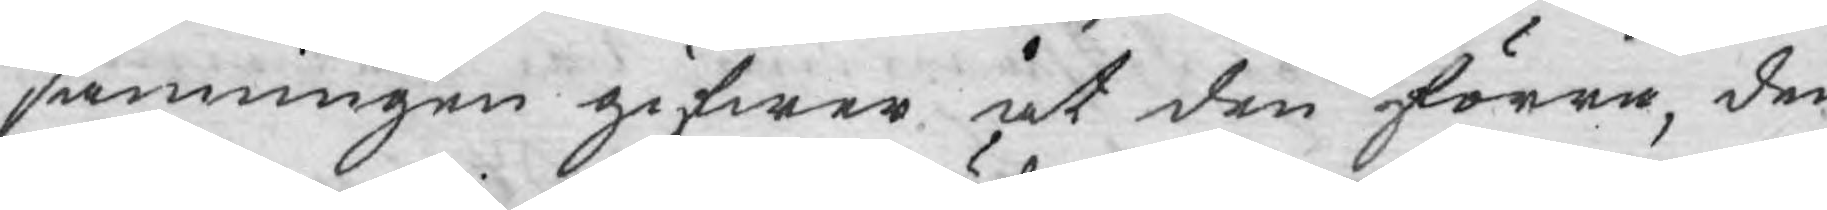sanningen gifwer at den förra, den
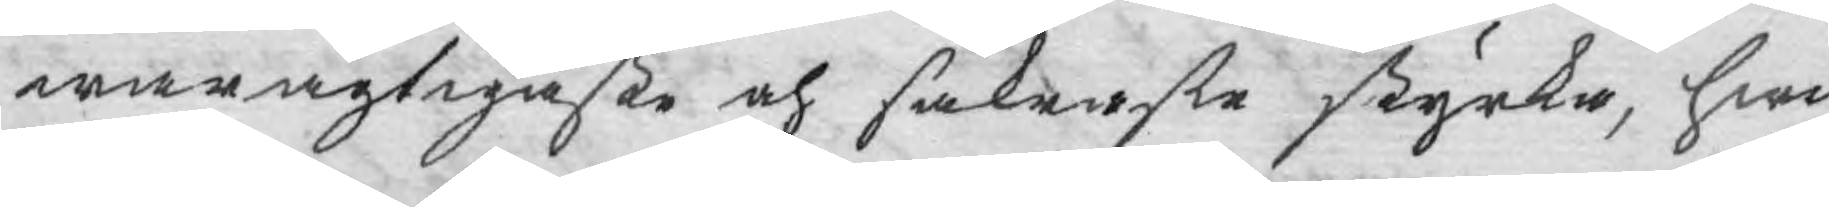waragtigaste och säkraste styrka, hwil¬
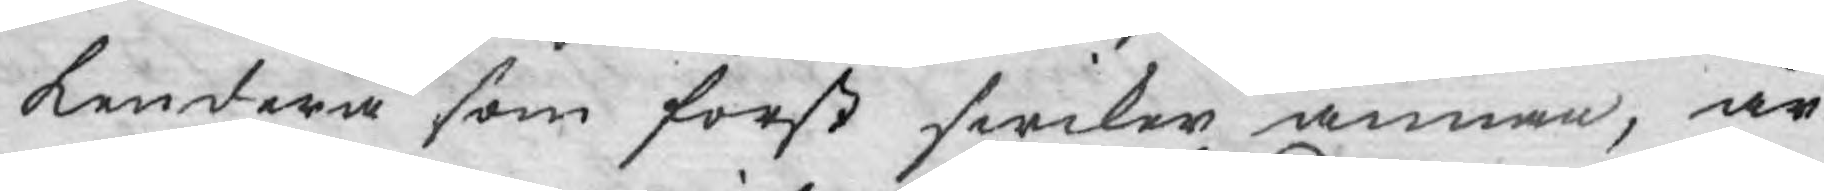kendera som först swiker annan, är
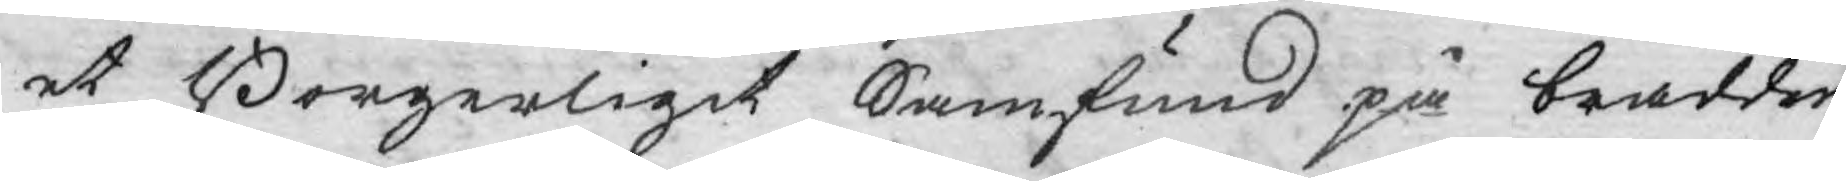et Borgerligit Samfund på brädden
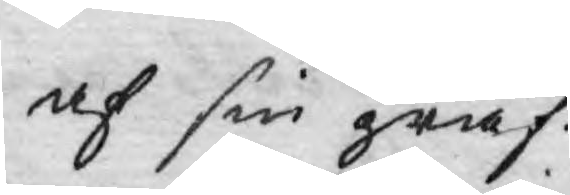af sin graf.
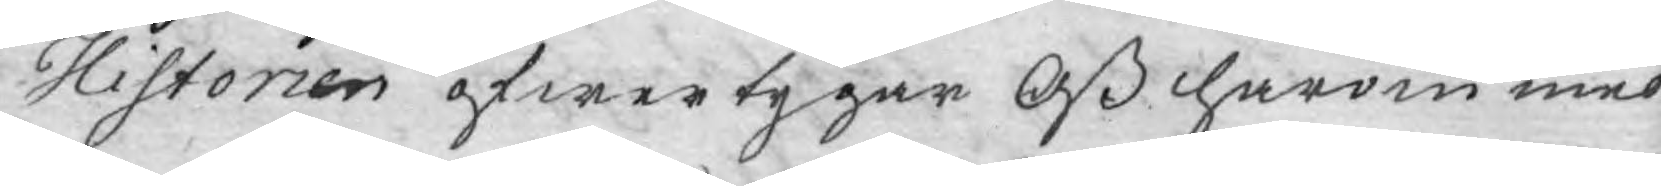Historien öfwertygar Oß härom med
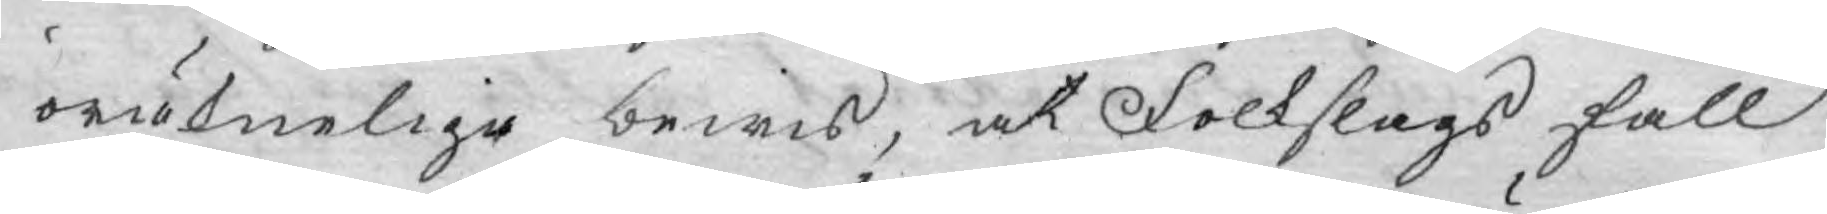oräkneliga bewis, at Folkslags fall
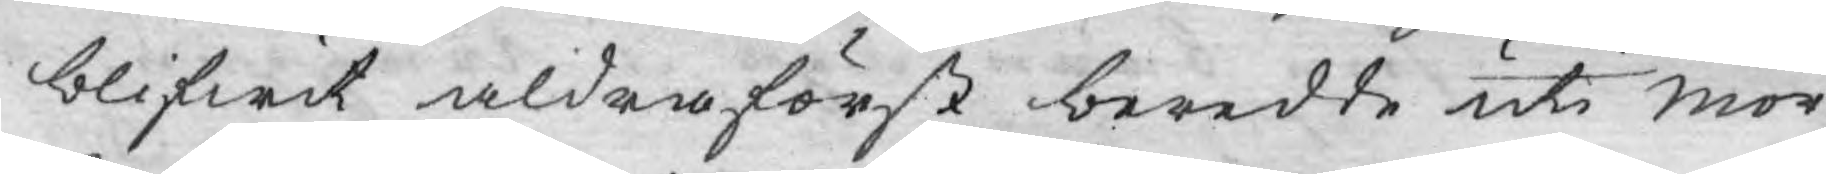blifwit aldra först beredte uti mör¬
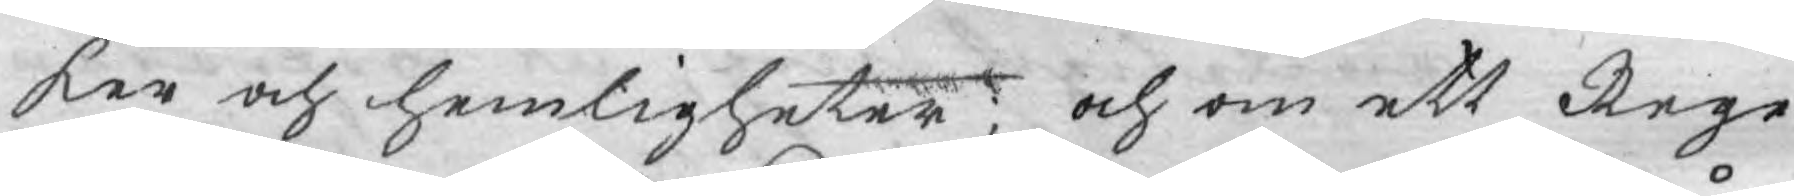ker och hemligheter; och om ett Rege¬
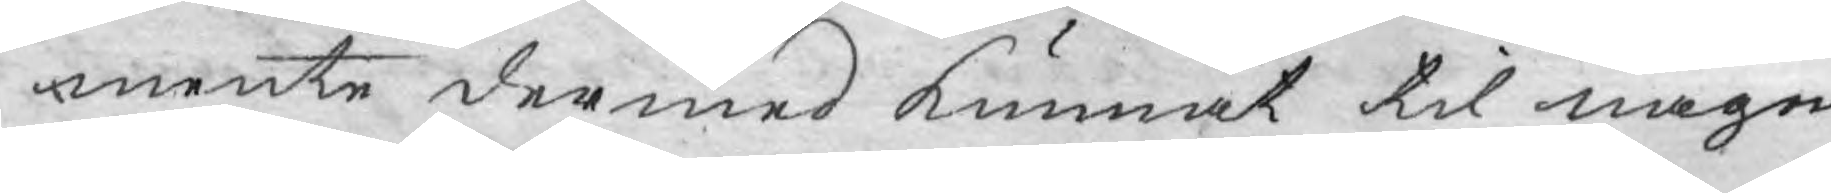mente dermed kunnat til någen
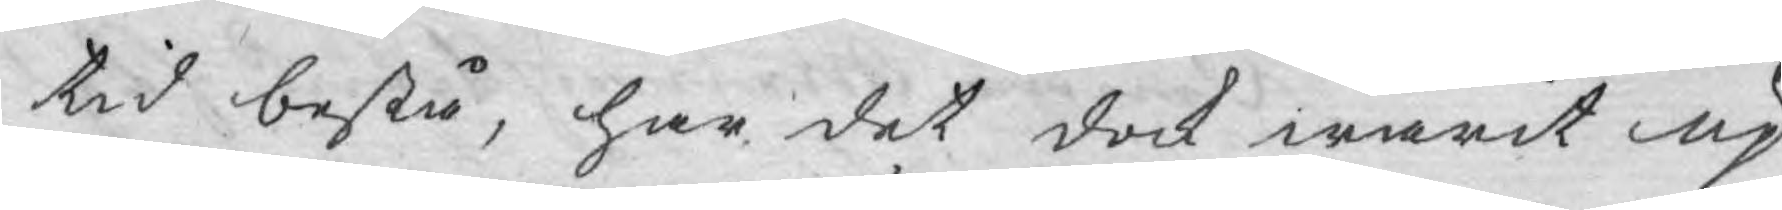tid bestå, har det dock warit up¬
